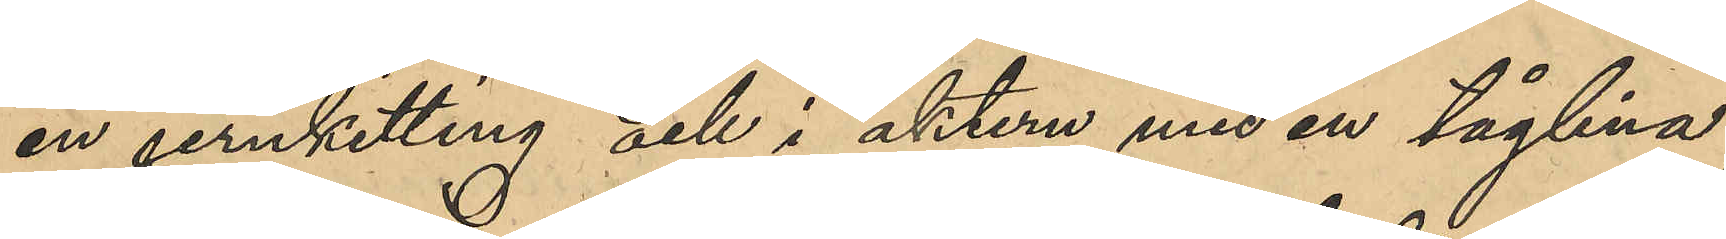en jernketting och i aktern med en tåglina;
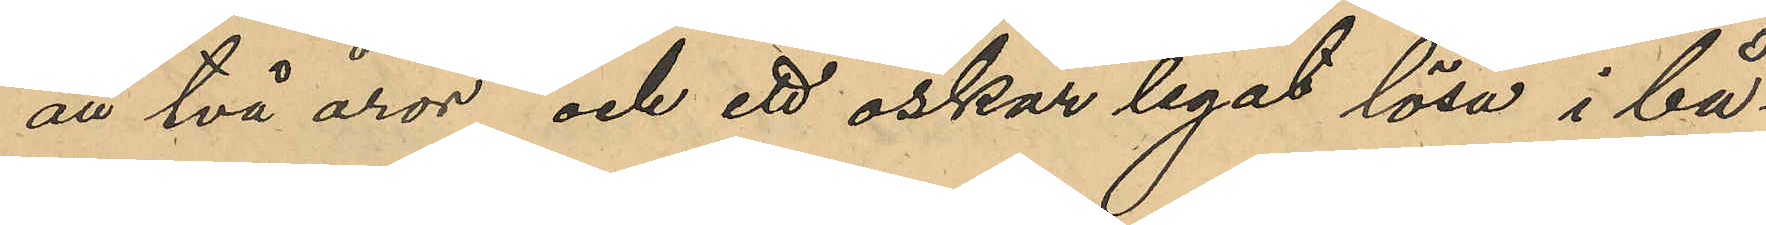att två åror och ett öskar legat lösa i bå¬
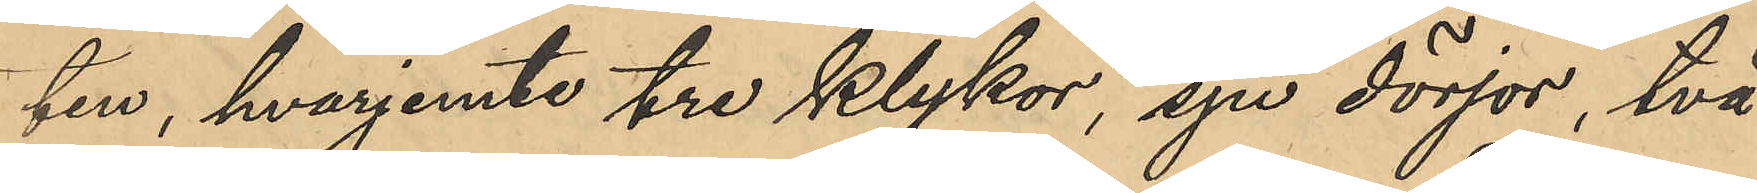ten, hvarjemte tre klykor, sju dörjor, två
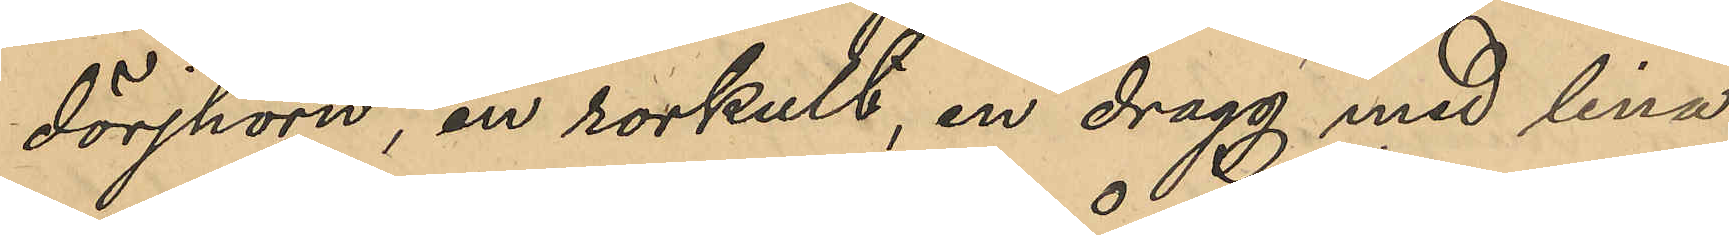dörjhorn, en rorkult, en dragg med lina,
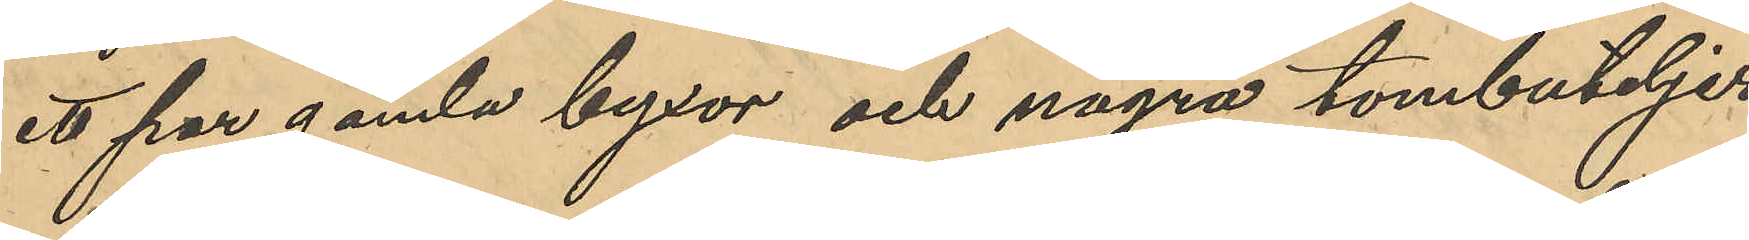ett par gamla byxor och några tombuteljer
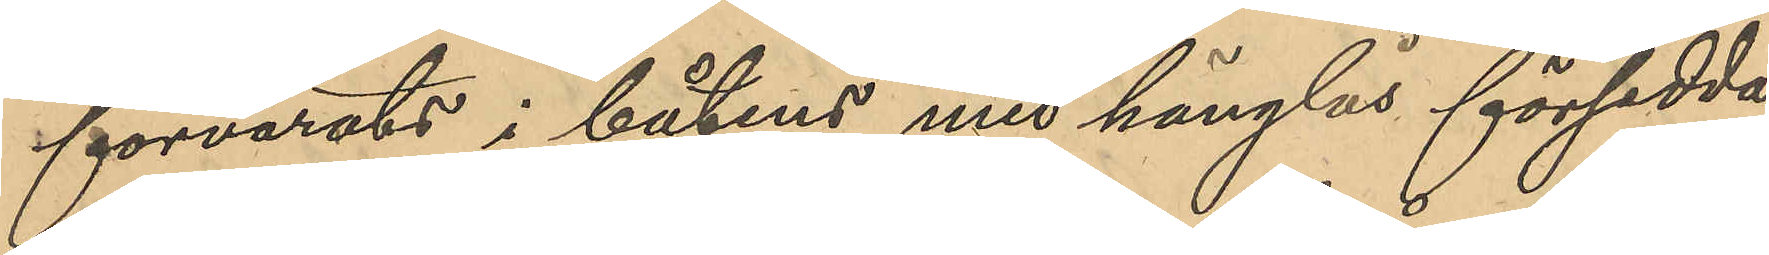förvarats i båtens med hänglås försedda
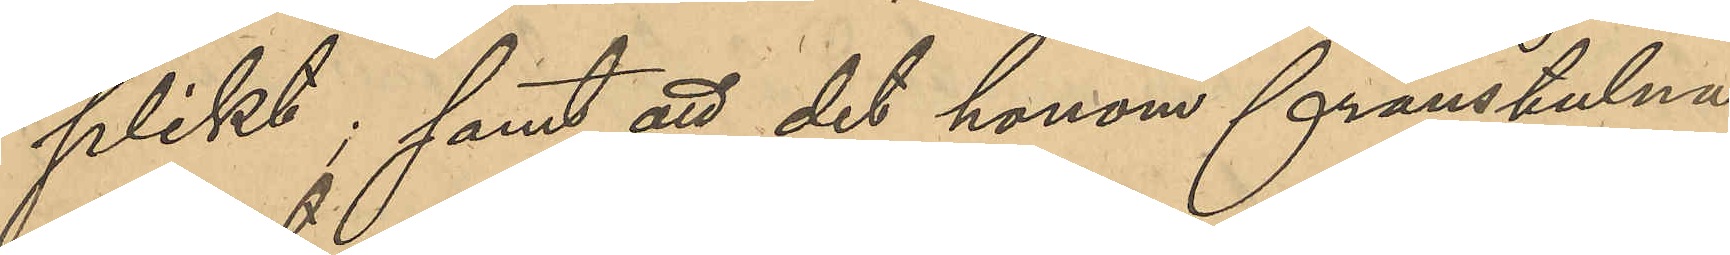plikt; samt att det honom frånstulna
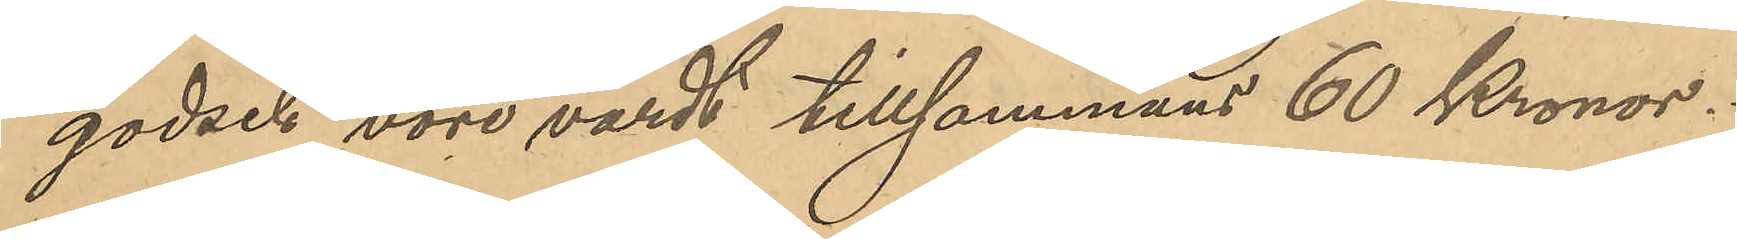godset vore värdt tillsammans 60 Kronor.
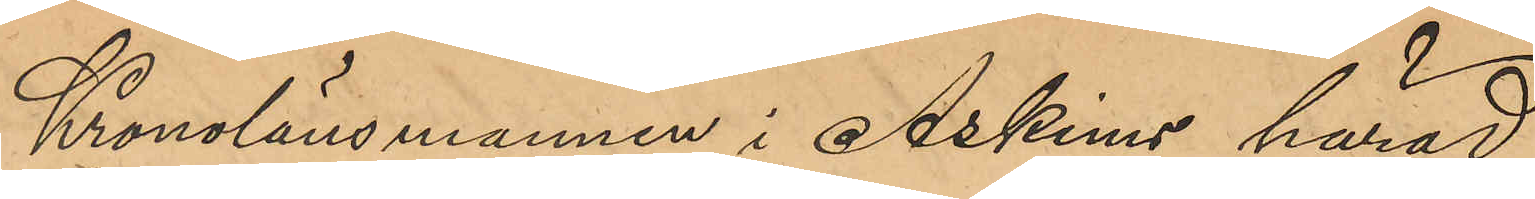Kronolänsmannen i Askims härad
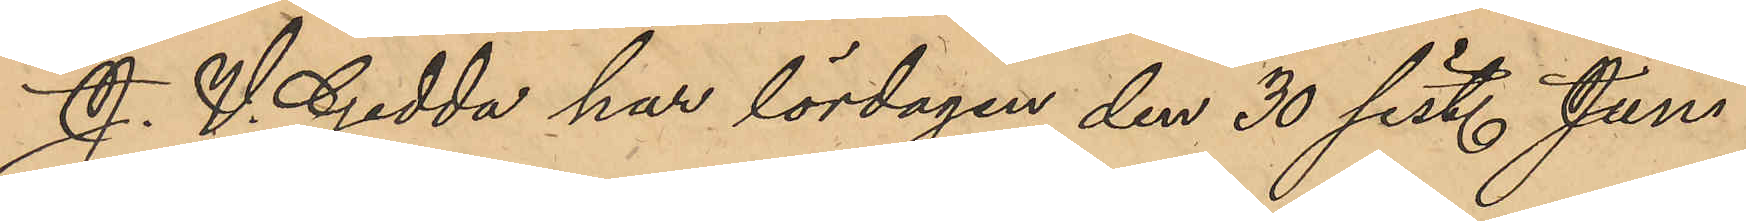J. V. Gedda har lördagen den 30 sist. Juni
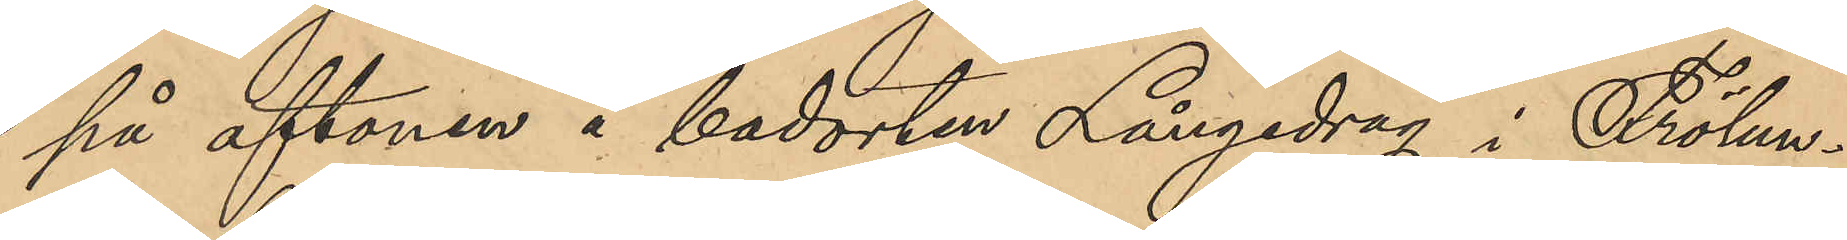på aftonen å badorten Långedrag i Frölun¬
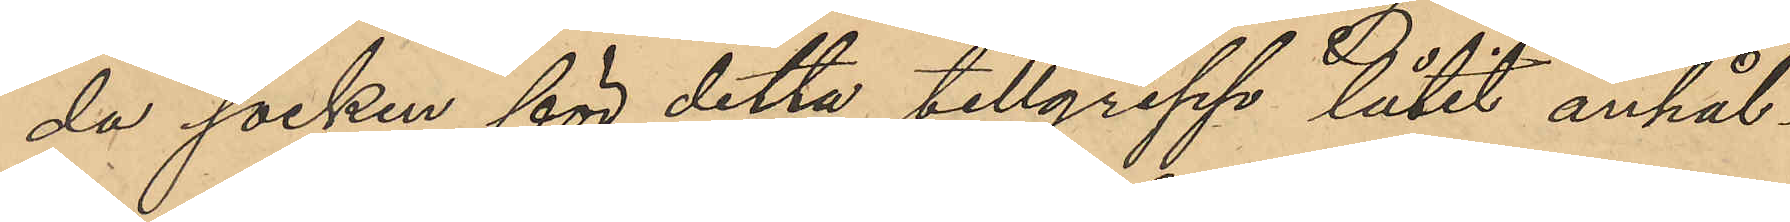da socken för detta tillgrepp låtit anhål¬
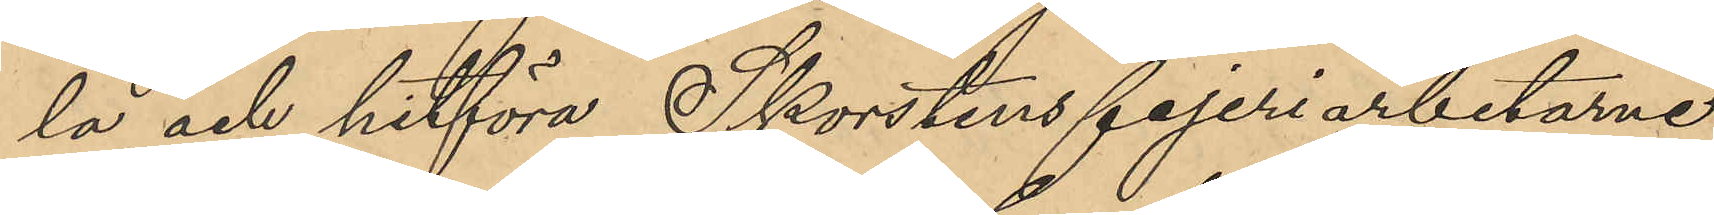la och hitföra Skorstensfejeriarbetaren
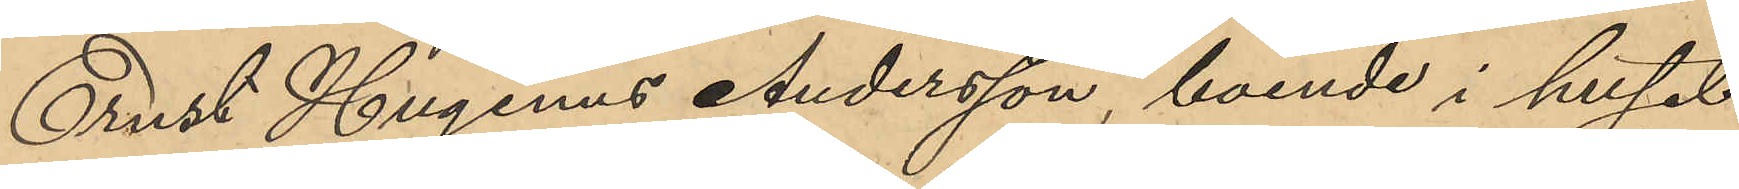Ernst Hugenius Andersson, boende i huset
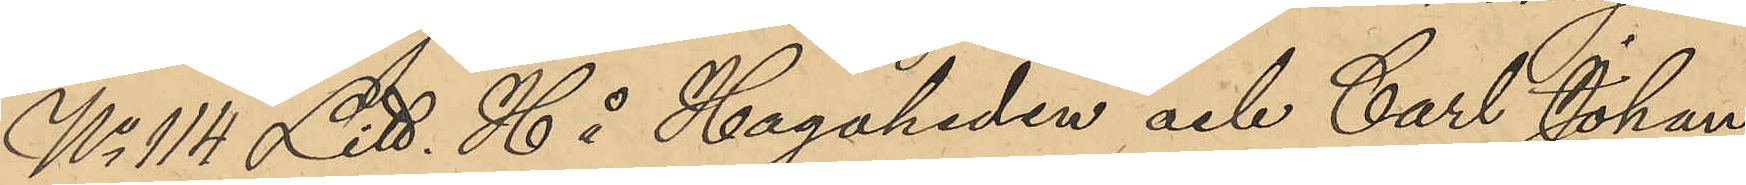No 114 Litt. H å Hagaheden och Carl Johan
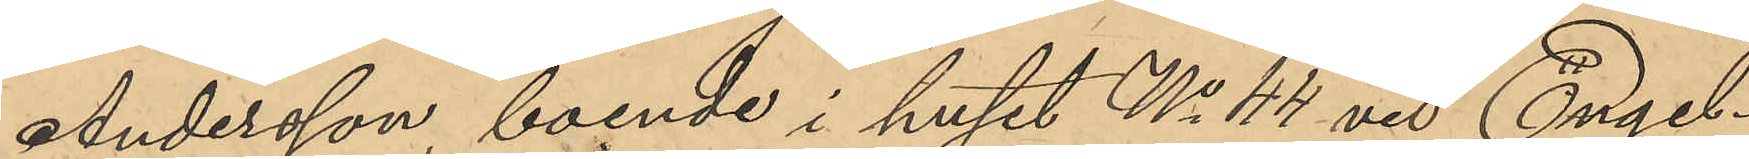Andersson, boende i huset No 44 vid Engel¬
